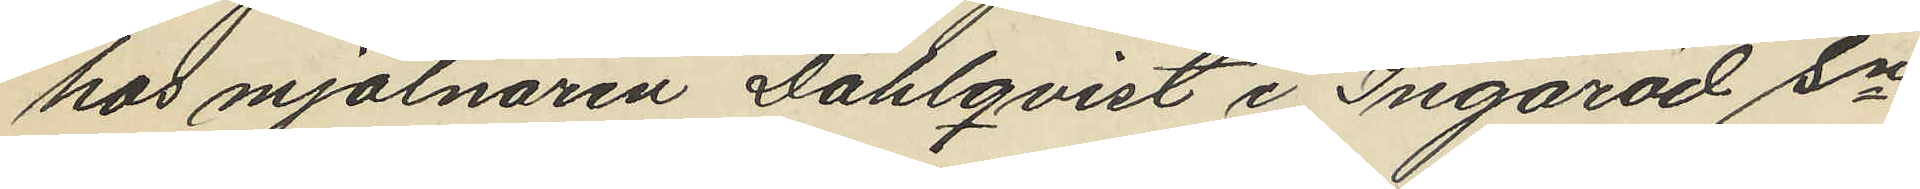hos mjölnaren Dahlqvist i Ingaröd sn
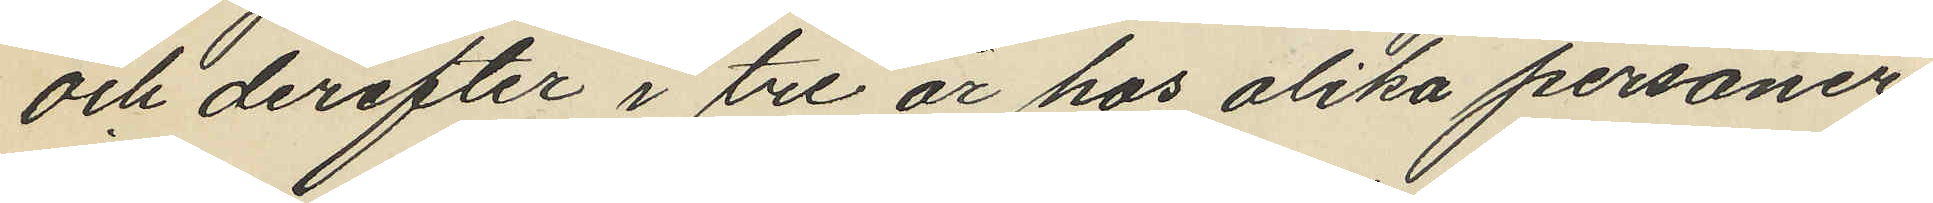och derefter i tre år hos olika personer
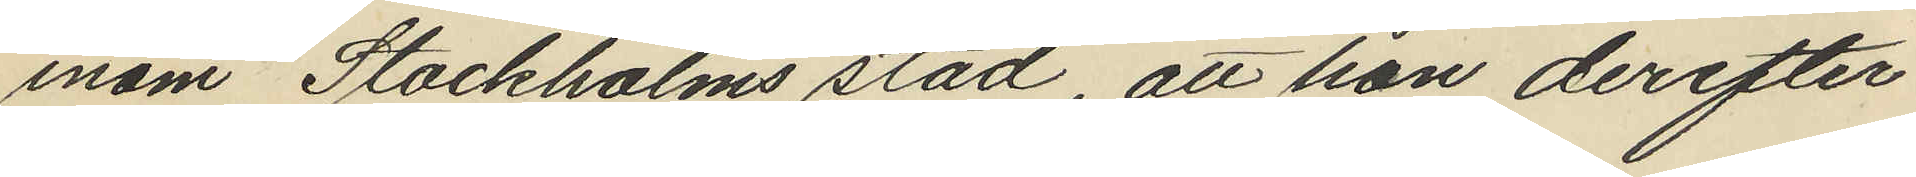inom Stockholms stad, att hon derefter
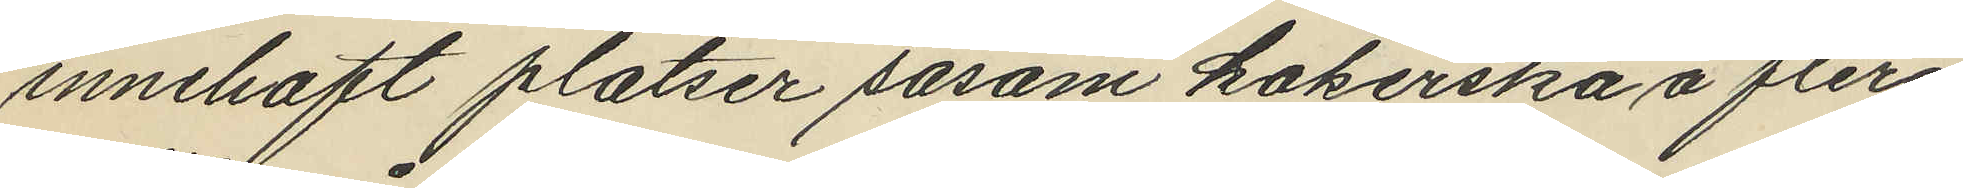innehaft platser såsom kokerska å flera
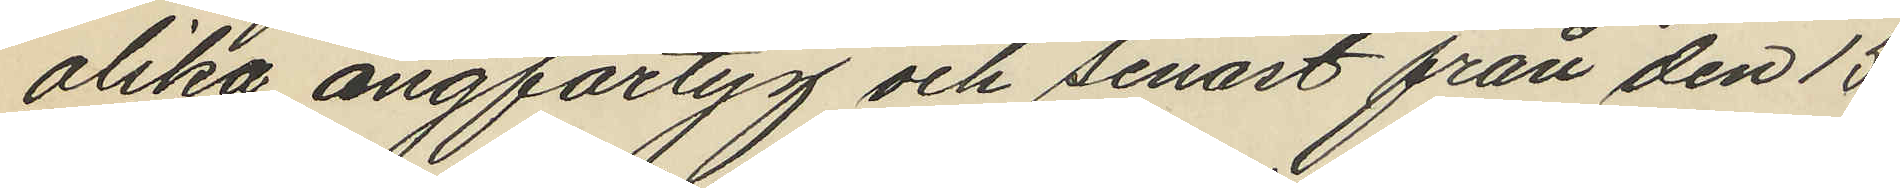olika ångfartyg och senast från den 15
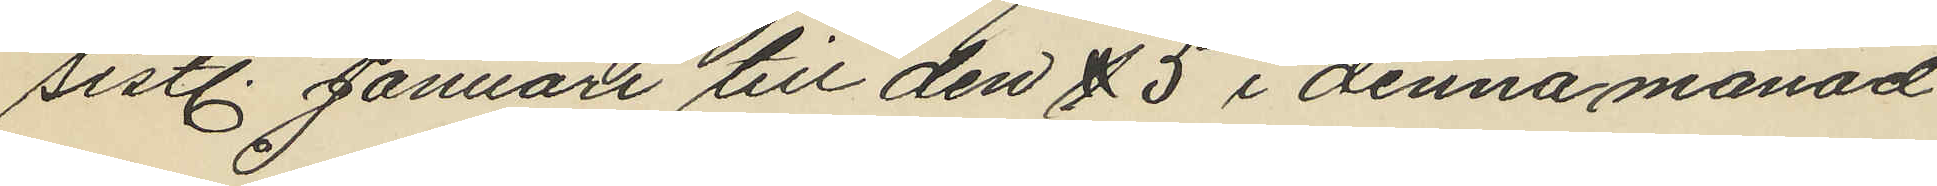sistl. Januari till den 15 i denna månad
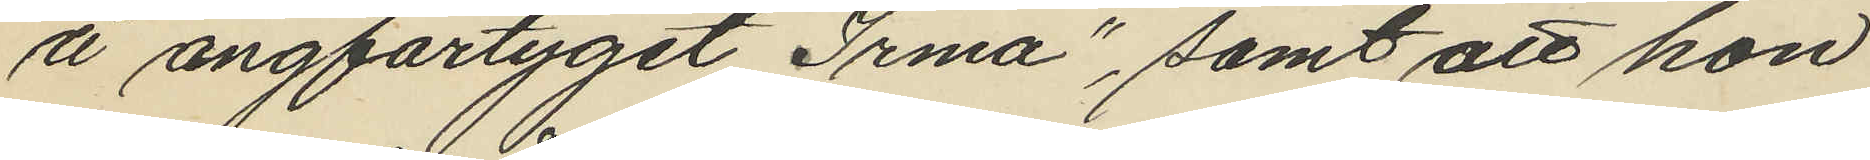å ångfartyget "Irma", samt att hon
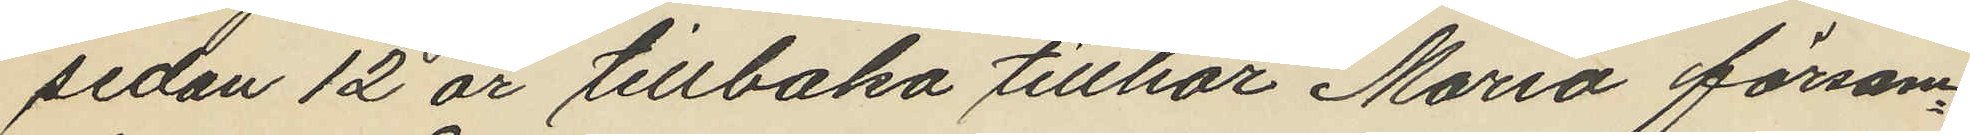sedan 12 år tillbaka tillhör Maria försam¬
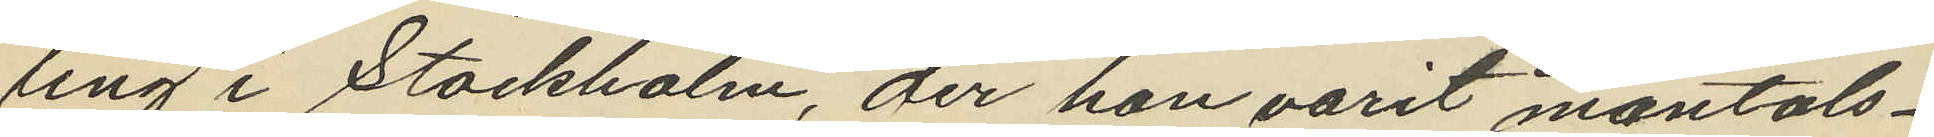ling i Stockholm, der hon varit mantals¬
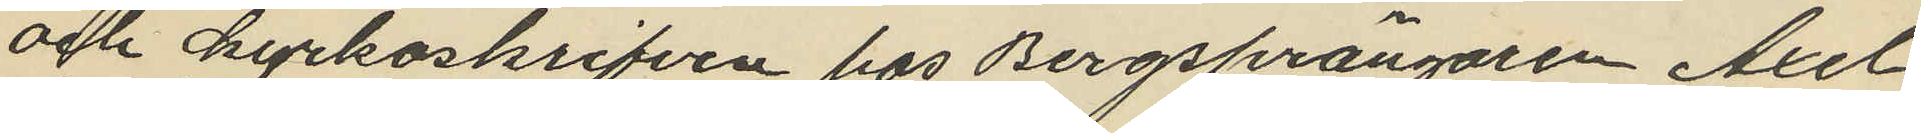och kyrkoskrifven hos Bergsprängaren Axel
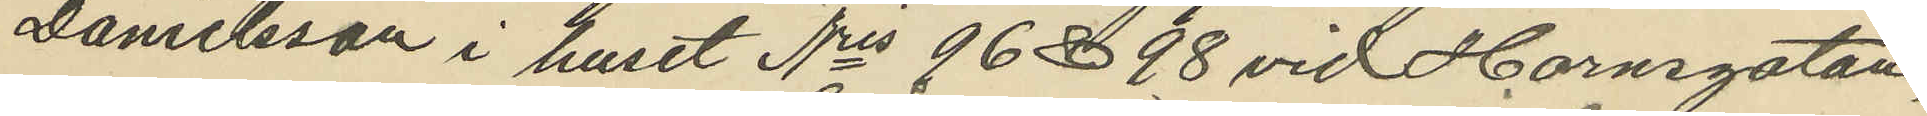Danielsson i huset Nris 96 & 98 vid Hornsgatan.
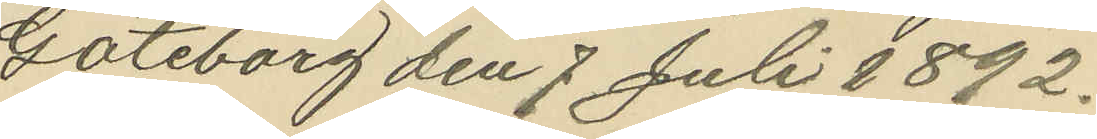Göteborg den 7 Juli 1892.
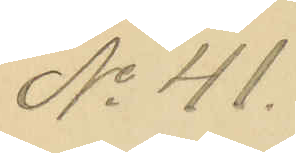No 41.
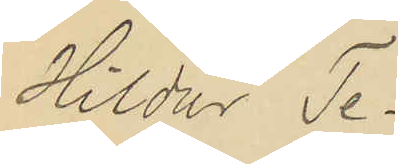Hildur Te¬
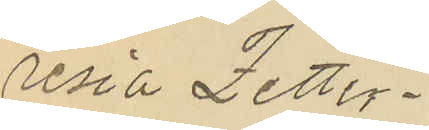resia Zetter¬
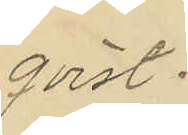qvist.
